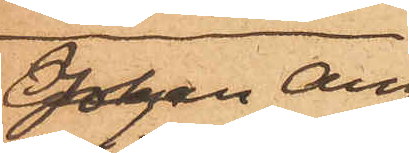Johan Aug.
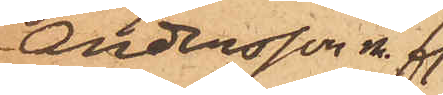Andersson m. fl.
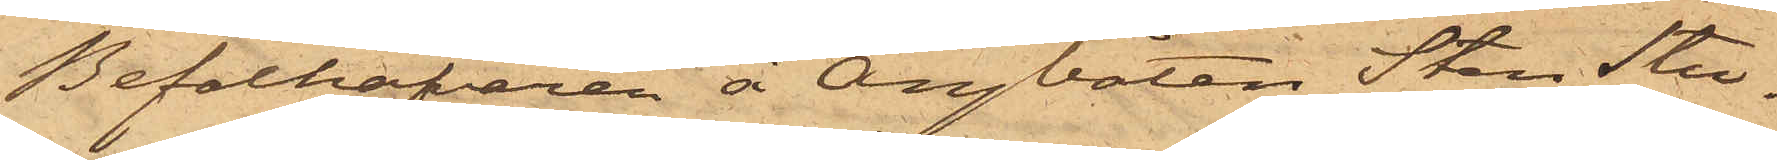Befälhafvaren å Ångbåten Sten Stu¬
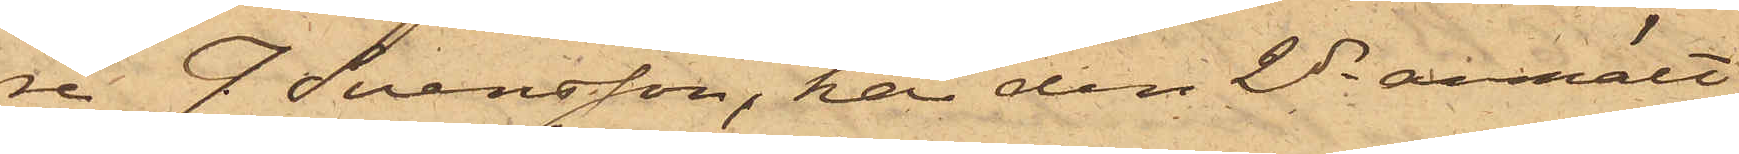re J. Svensson, har den 2 ds anmält
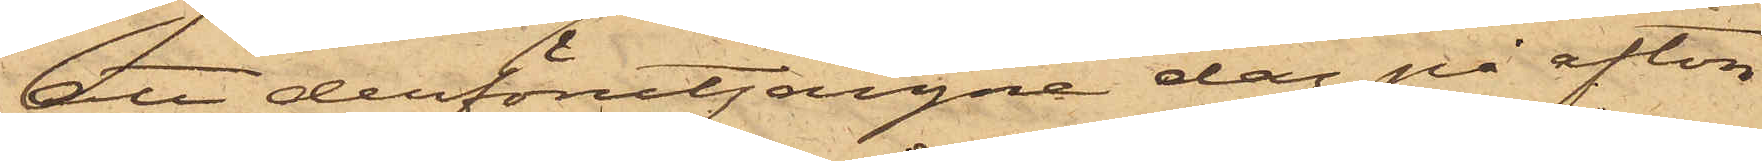att derförutgångne dag på afton
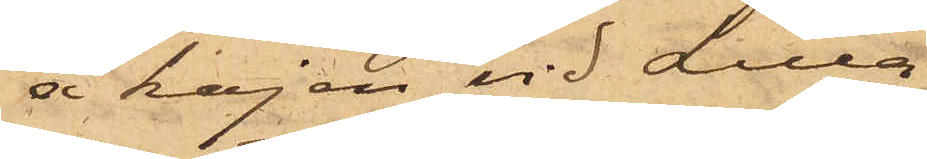å kajen vid Lilla
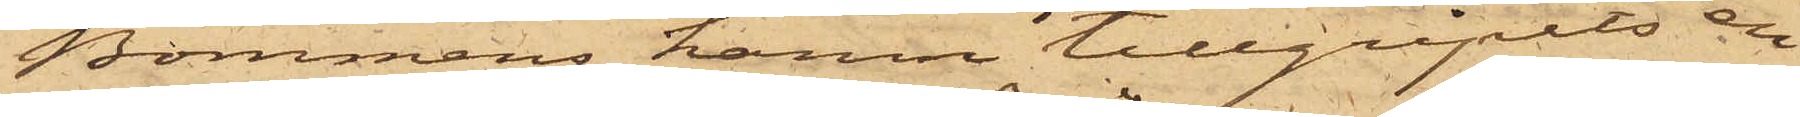Bommens hamn tillgripits en
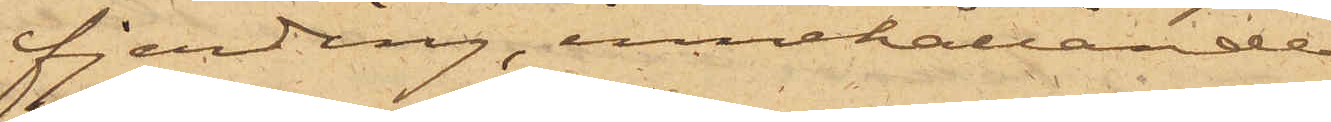fjerding, innehållande
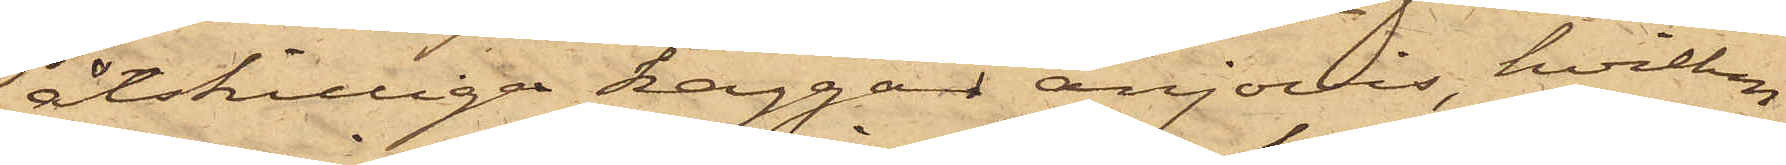åtskilliga kaggar anjovis, hvilken
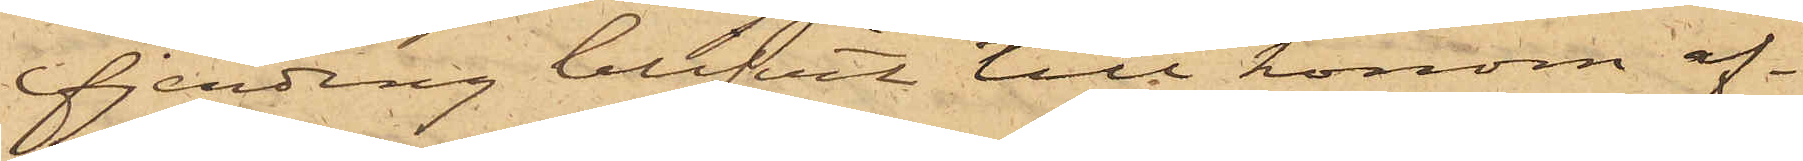fjerding blifvit till honom af¬
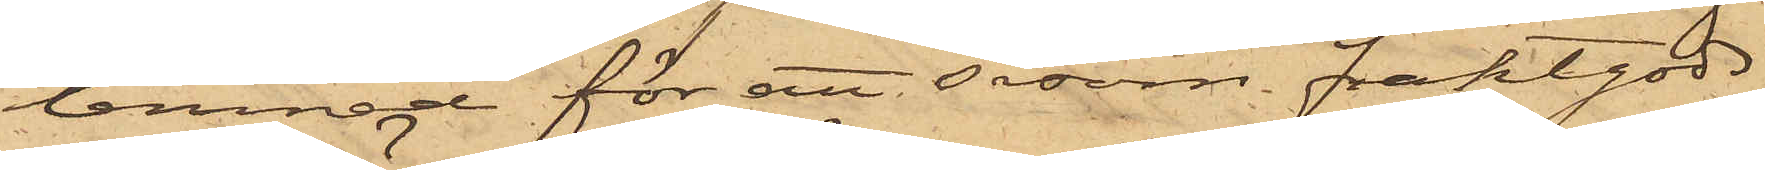lemnad för att såsom fraktgods
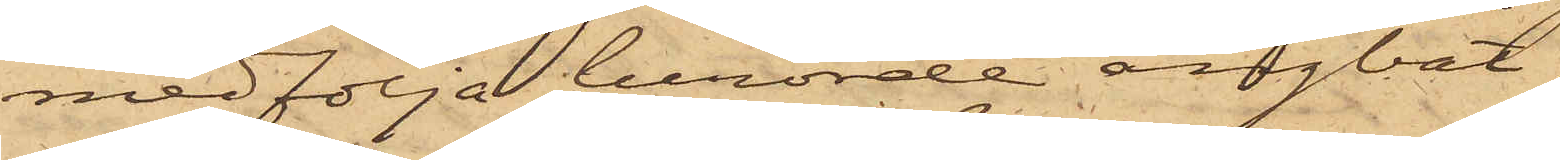medfölja berörde ångbåt.
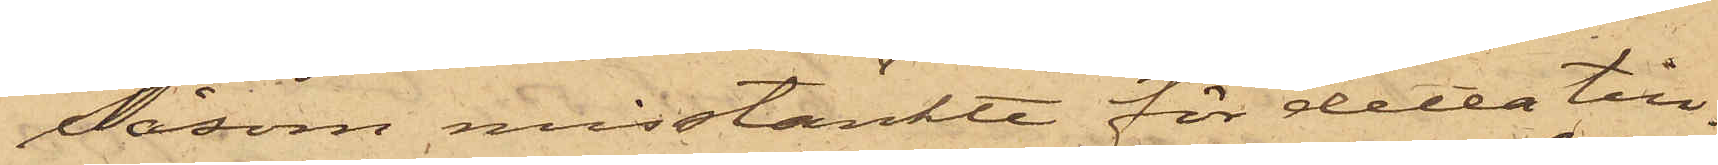Såsom misstänkte för detta till¬
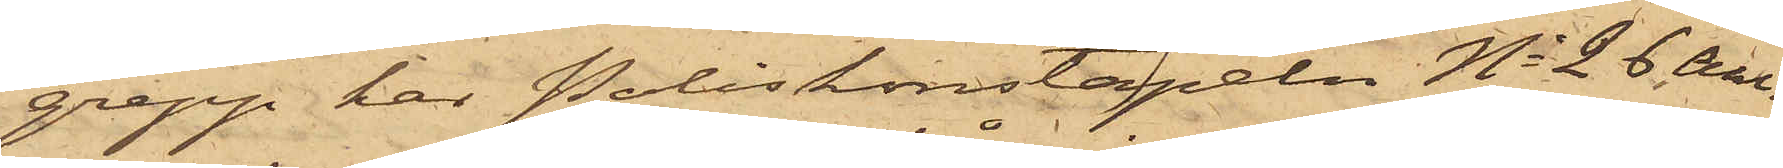grepp har Poliskonstapeln No 26 Ahl¬
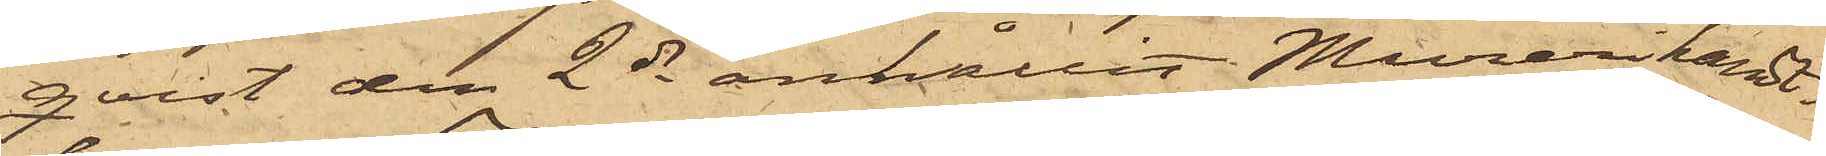qvist den 2 ds anhållit Murerihant¬
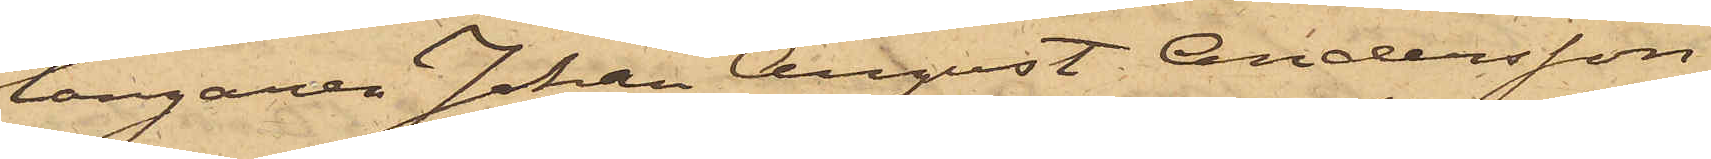langaren Johan August Andersson,
